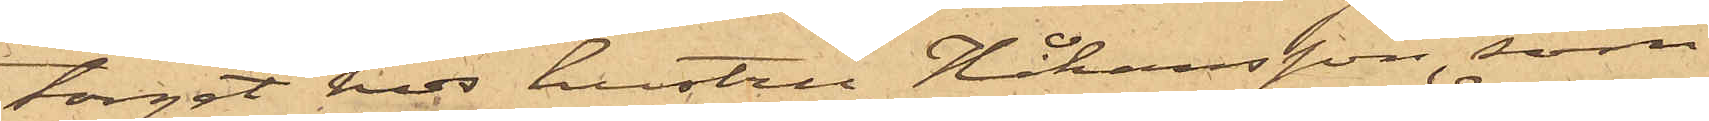torget hos hustru Håkansson, som
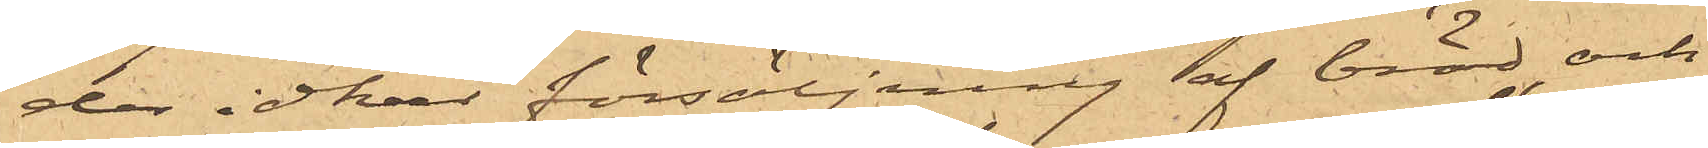der idkar försäljning af bröd, och
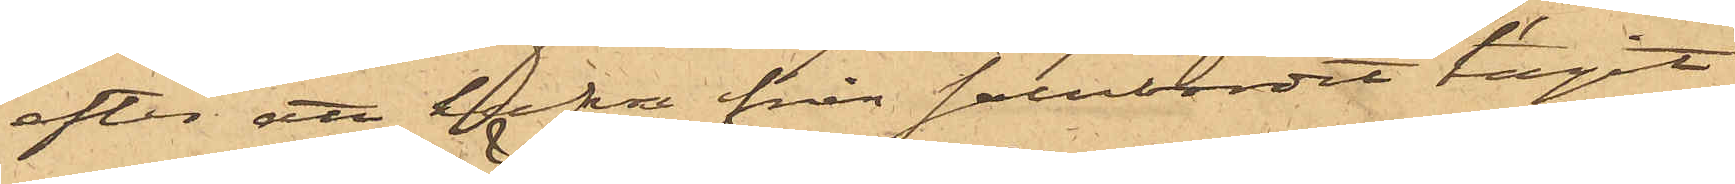efter att hafva från salubordet tagit
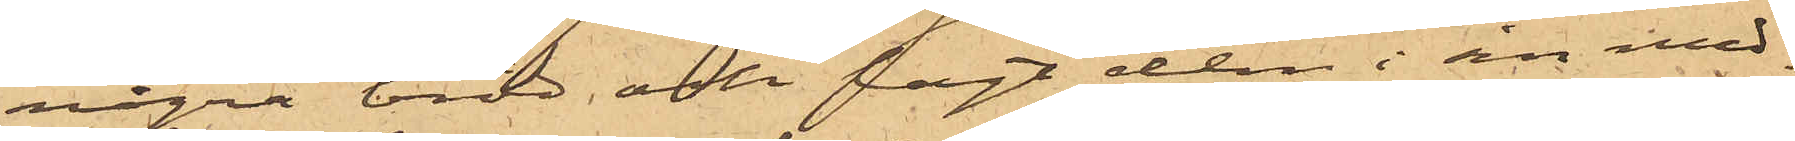några bröd och lagt dem i sin med¬
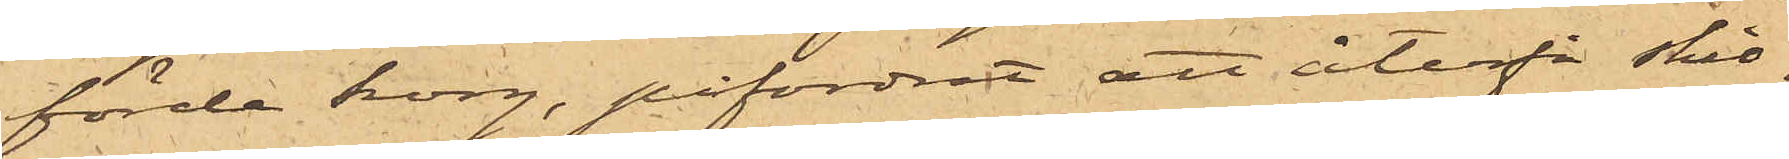förda korg, påfordrat att återfå skil¬
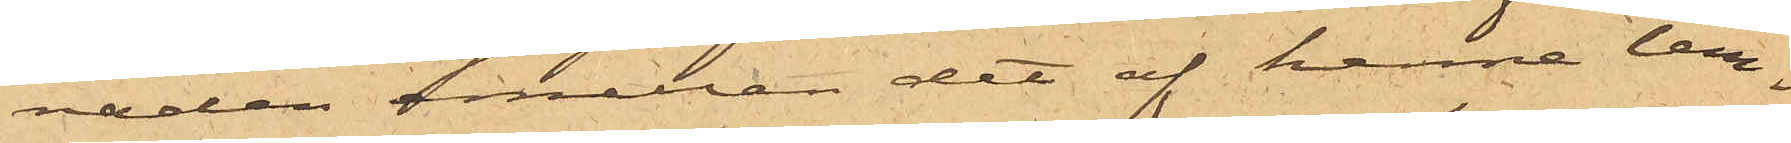naden mellan det af henne lem¬
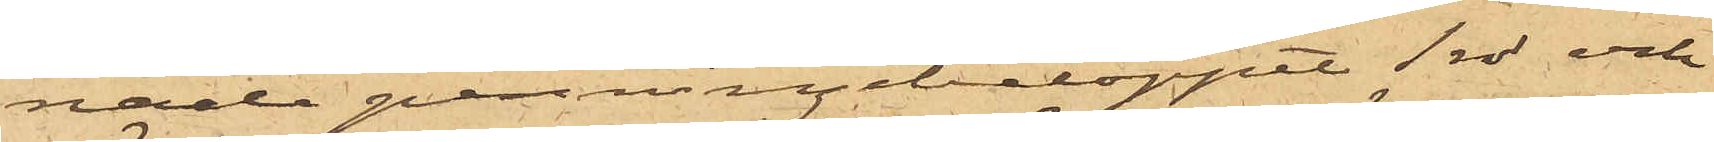nade penningebeloppet 1 rdr och
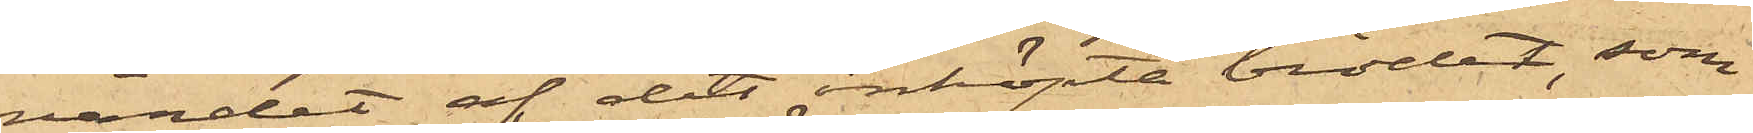värdet af det inköpta brödet, som
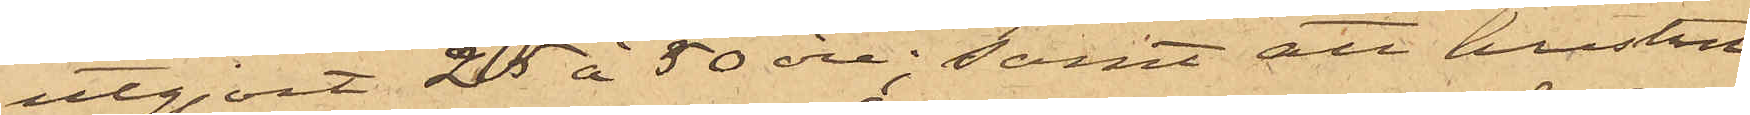utgjort 25 à 50 öre; samt att hustru
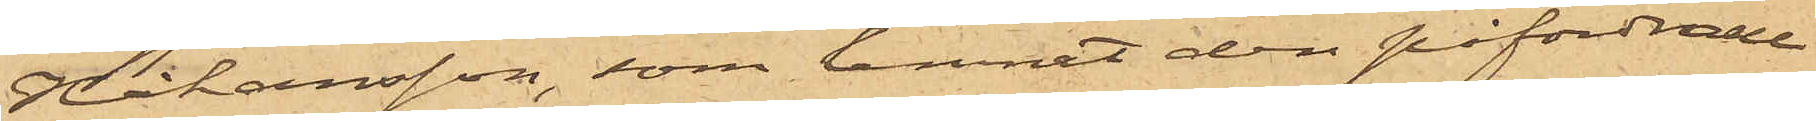Johansson, som lemnat den påfordrade
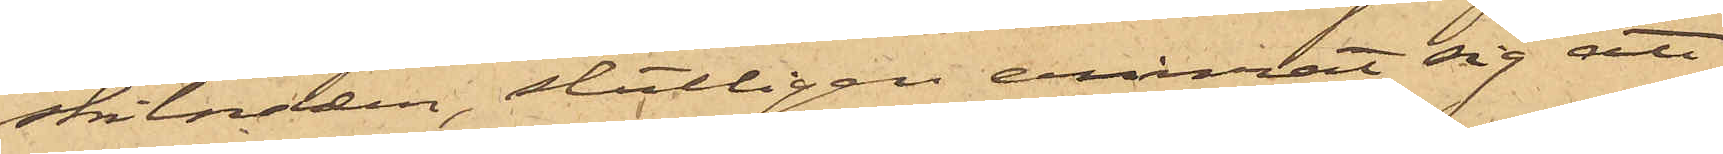skilnaden, slutligen erinrat sig att
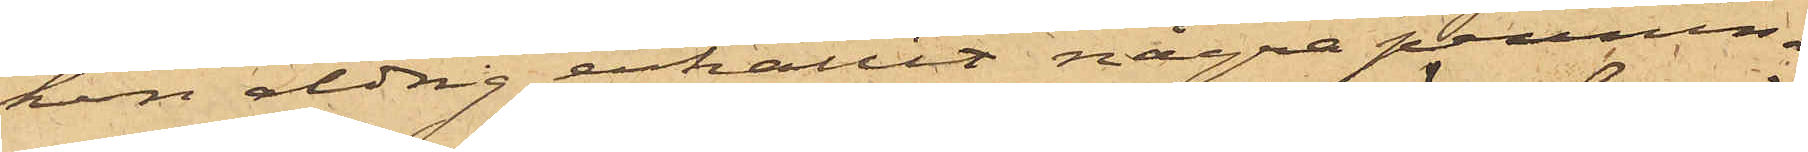hon aldrig erhållit några pennin¬
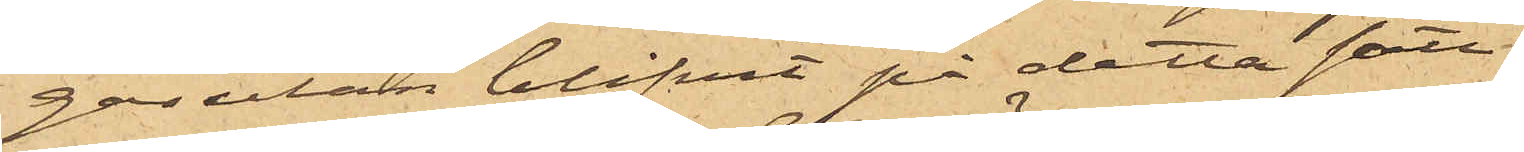gar utan blifvit på detta sätt
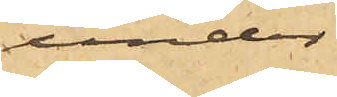under
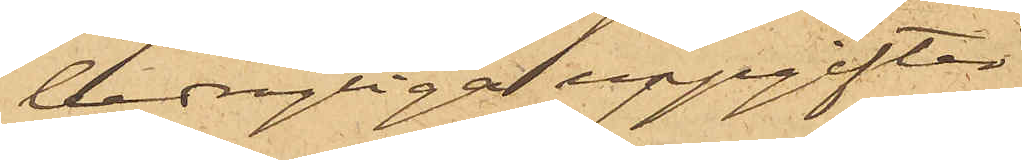bedrägliga uppgifter
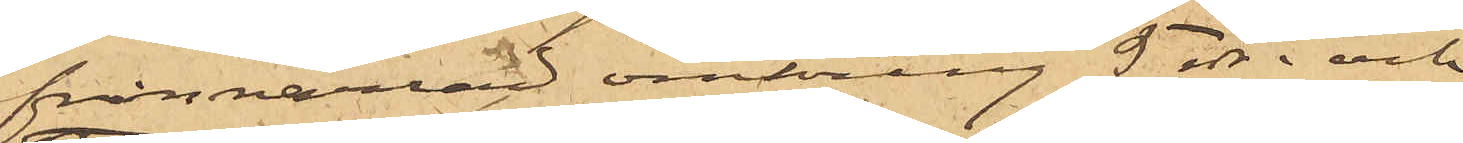frånnarrad omkring 5 rdr; och
